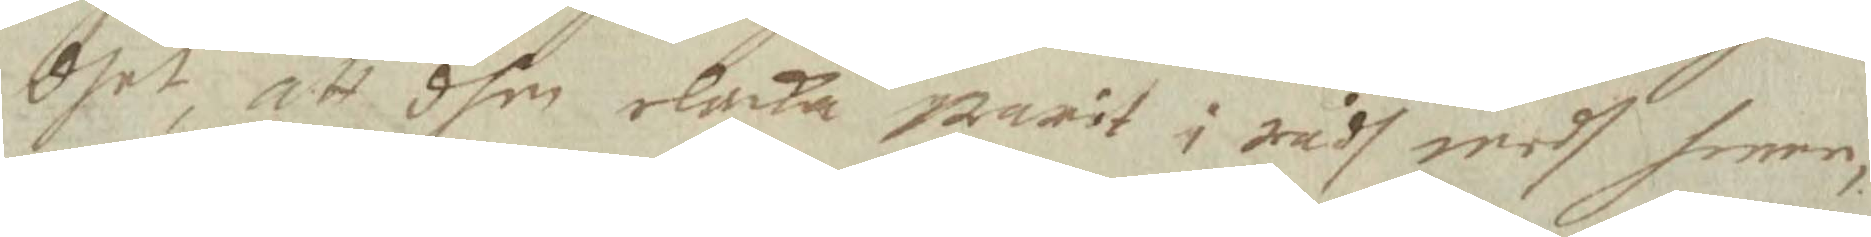dhet, att dhen elacka warit i rådh medh henne,
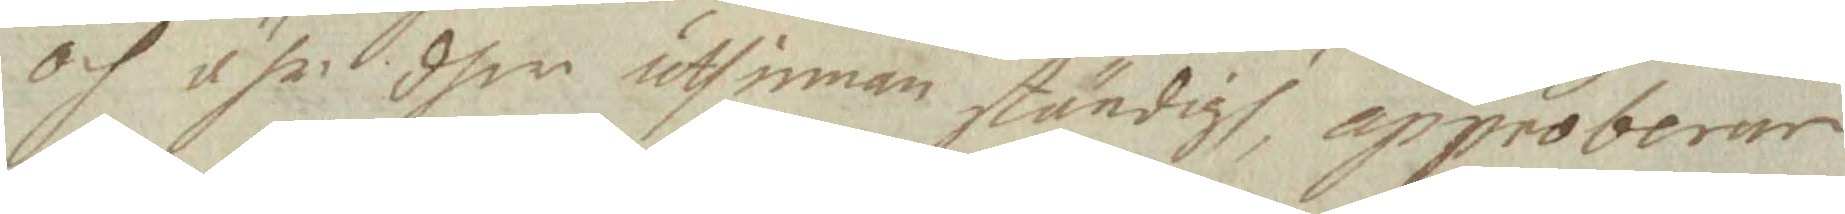och ähr dher uthinnan ständigh, approberar
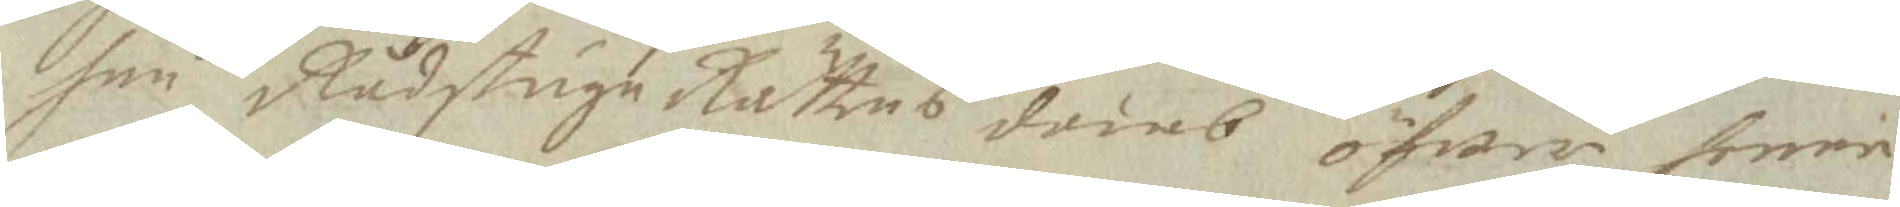han Rådstugu Rättens domb öfwer henne
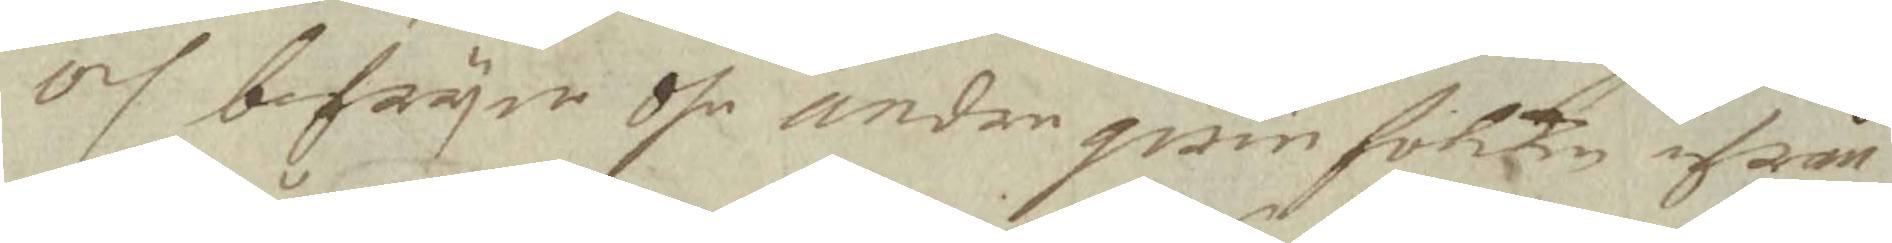och befryar dhe andre qwinfolken ifrån
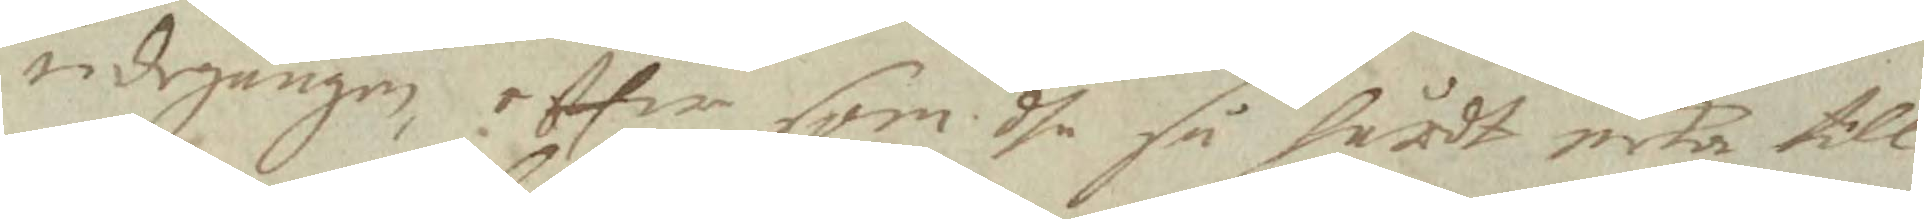udegången, effter som dhe så hårdt neka till
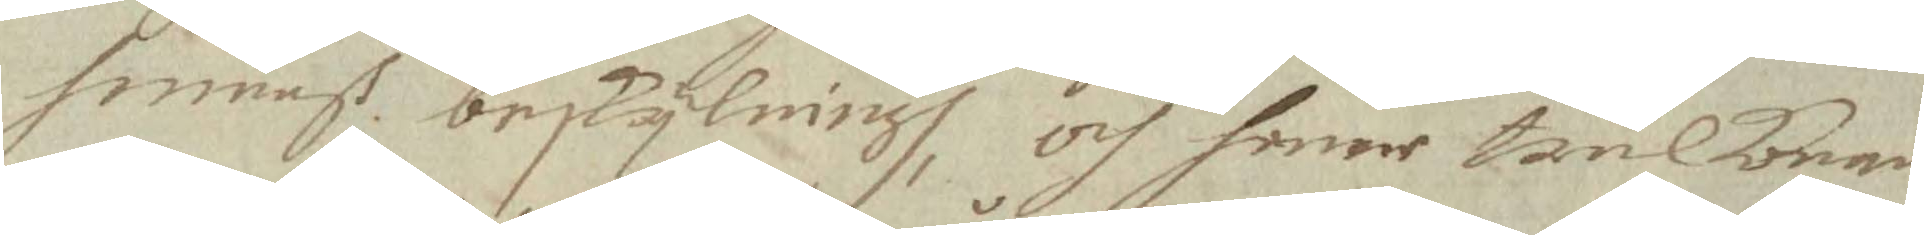henneß beskylningh, och henne trulkonan
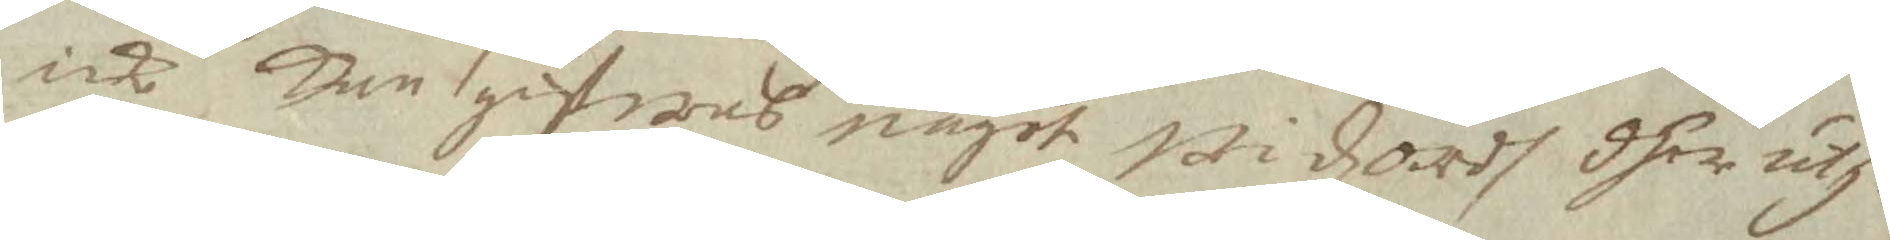icke kan gifwas något Widzordh dher uth¬
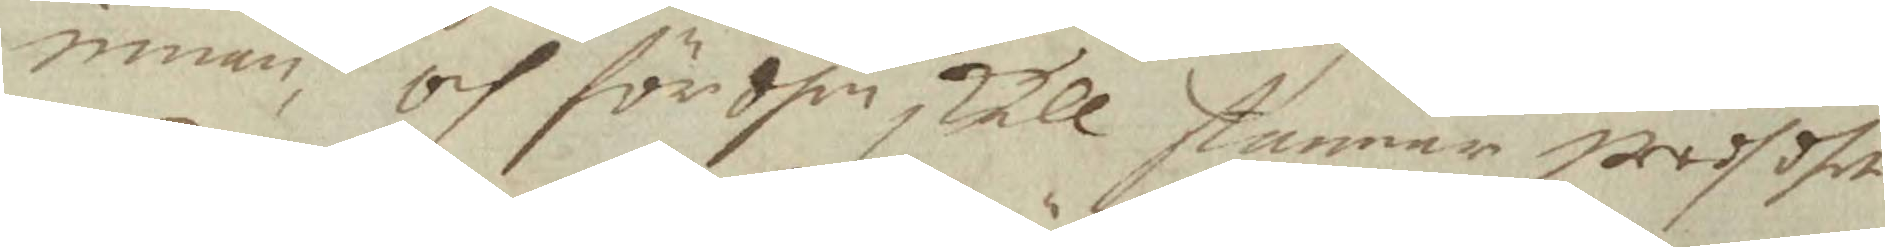innan, och för dhen skull stannar wedh dhet
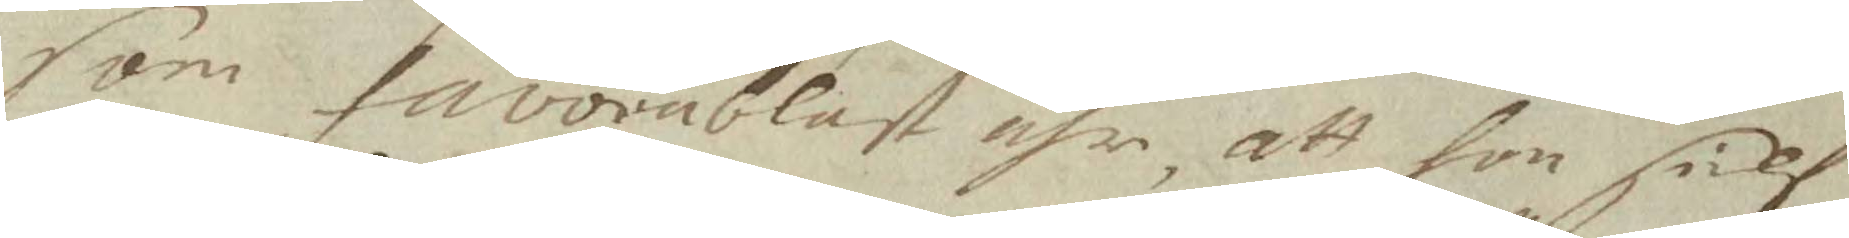som favorablast ähr, att hon sielf
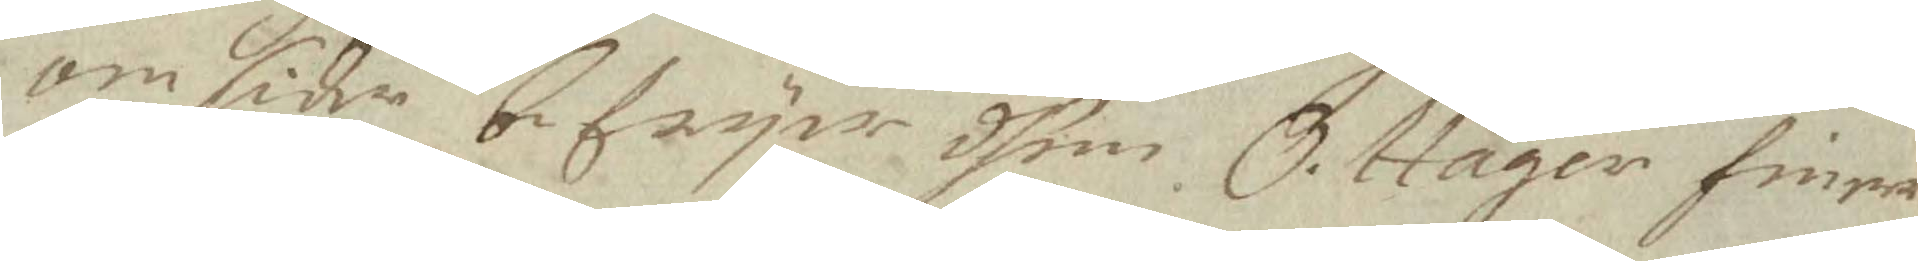om sider befryer dhem. O. Häger finner
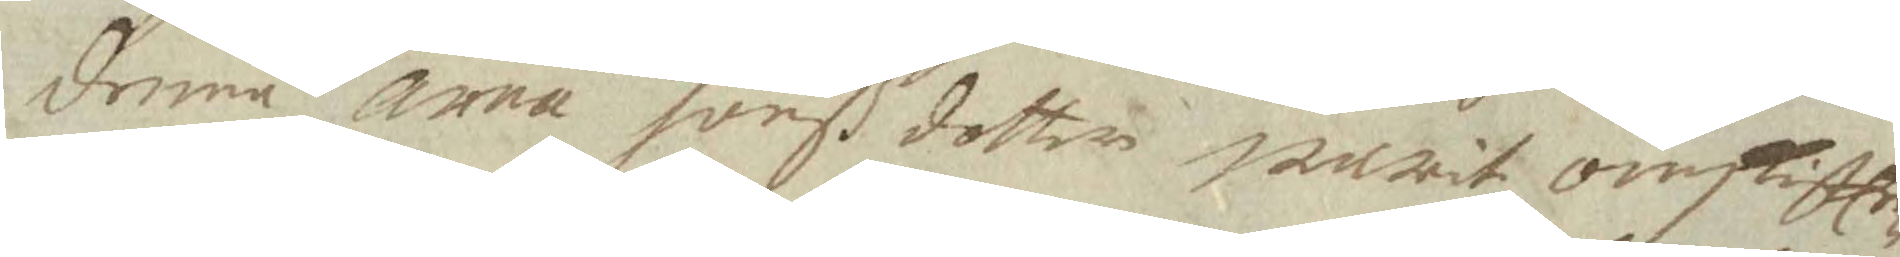denna Anna Jönß dotter warit omskifte¬
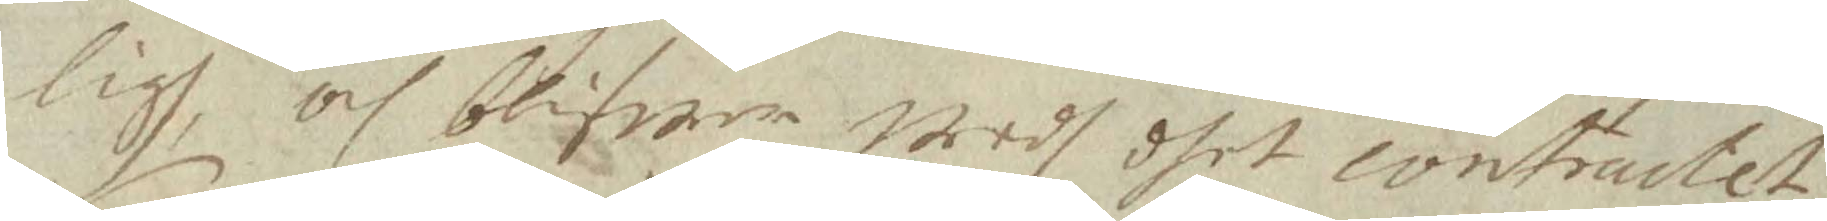ligh, och blifwer wedh dhet contractet
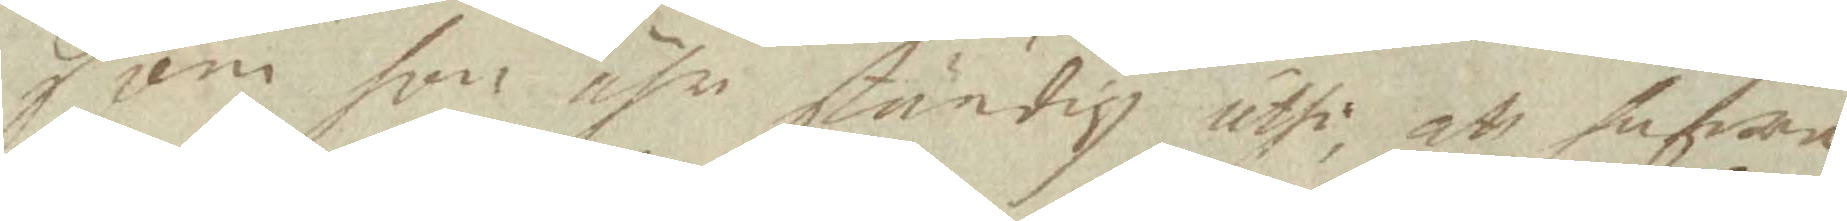som hon ähr ständig uthi, att hafwa
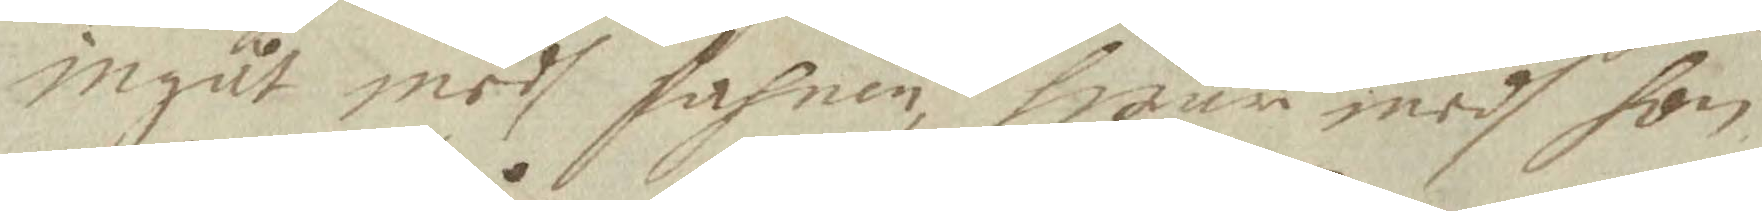ingåt medh fahnen, hwar medh hon
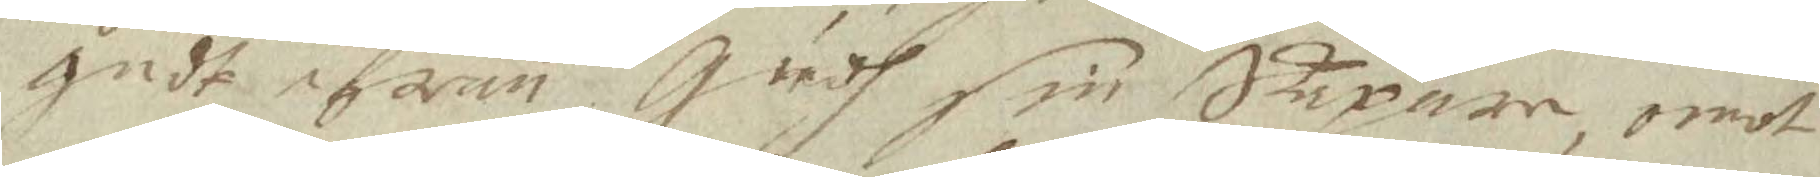gådt ifrån Gudh sin Skapare, emot
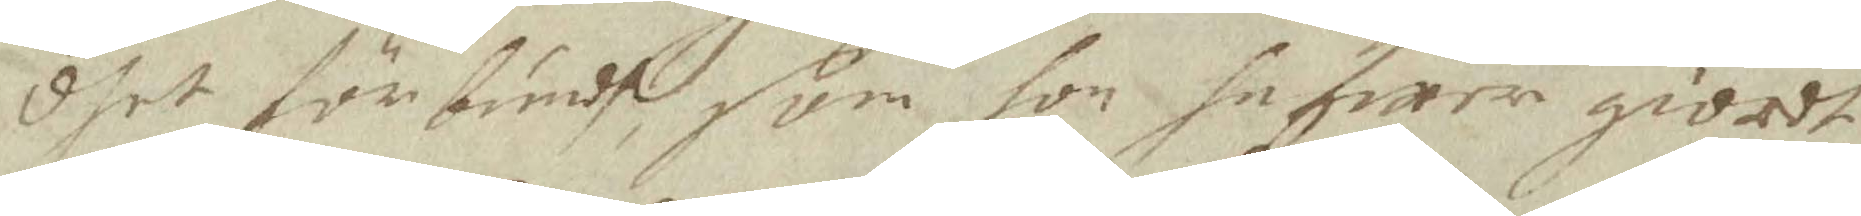dhet förbundhe som hon hafwer giordt
